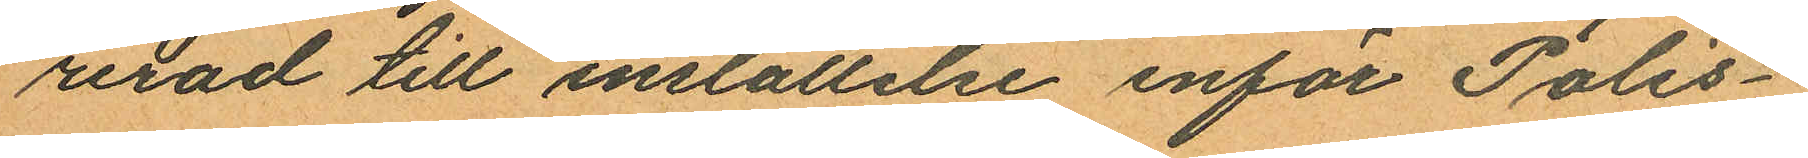rerad till inställelse inför Polis¬
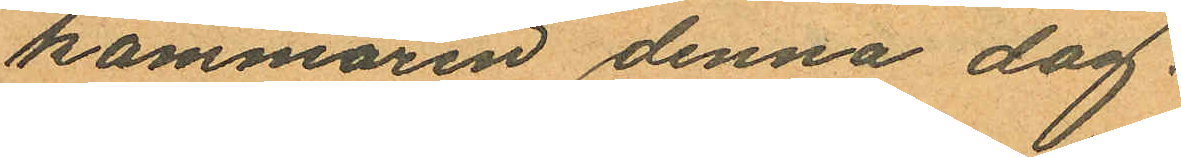kammaren denna dag.
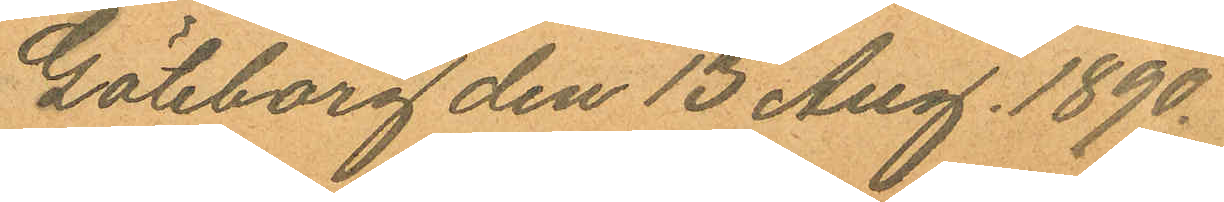Göteborg den 13 Aug. 1890.
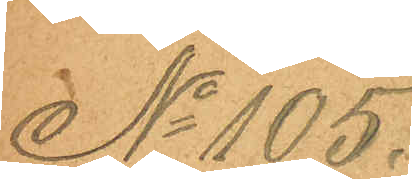No 105.
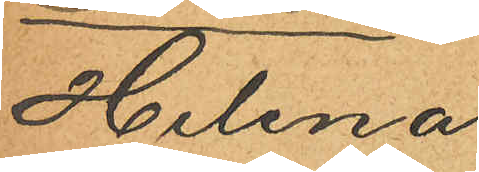Helena
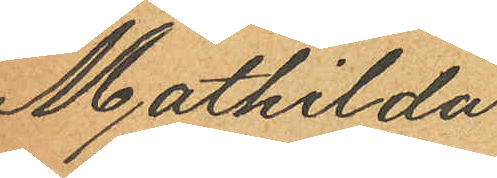Mathilda
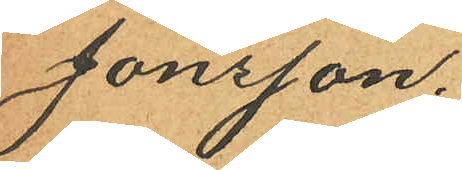Jönsson.
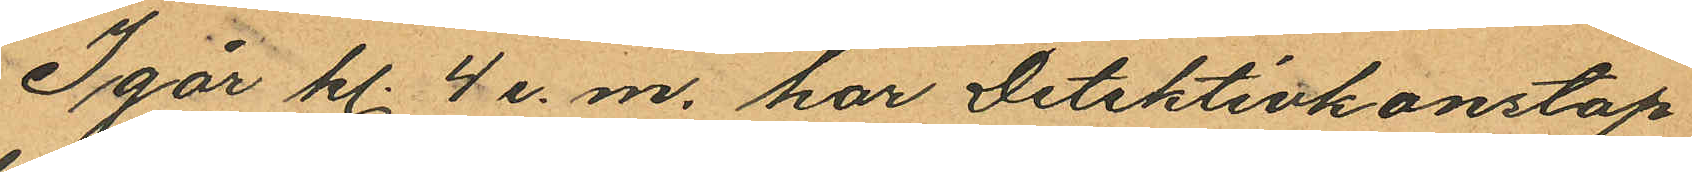Igår kl. 4 e.m. har Detektivkonstap
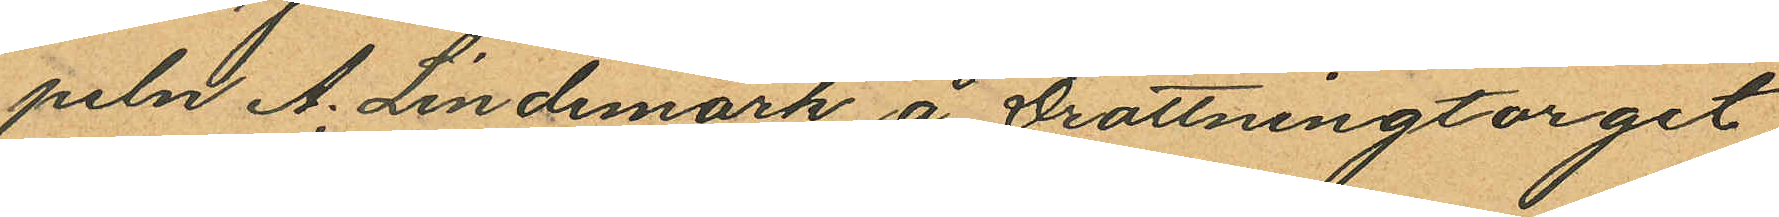peln A. Lindmark å Drottningtorget
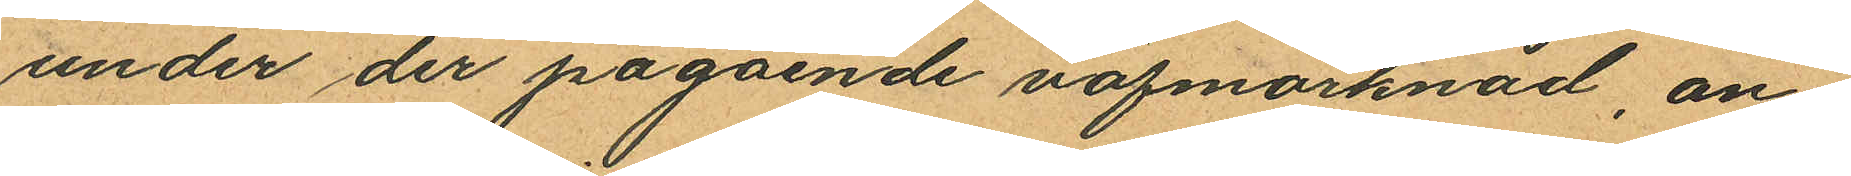under der på gående väfmarknad an¬
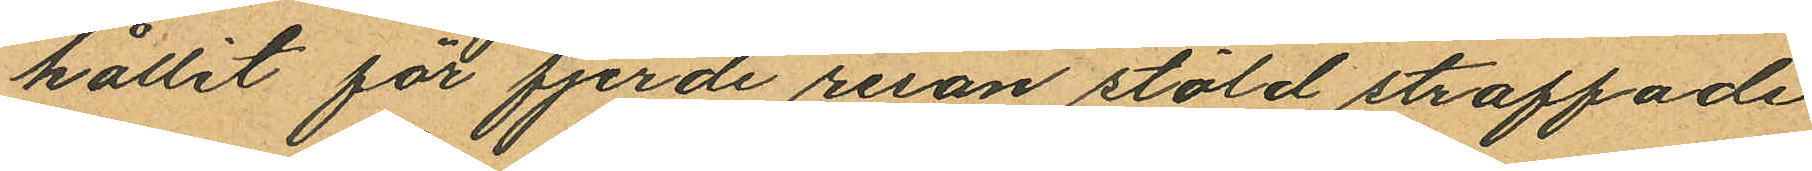hållit för fjerde resan stöld straffade
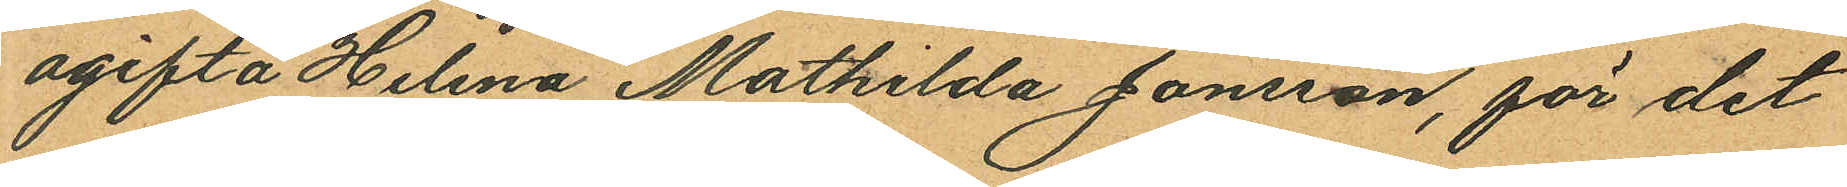ogifta Helena Mathilda Jonsson, för det
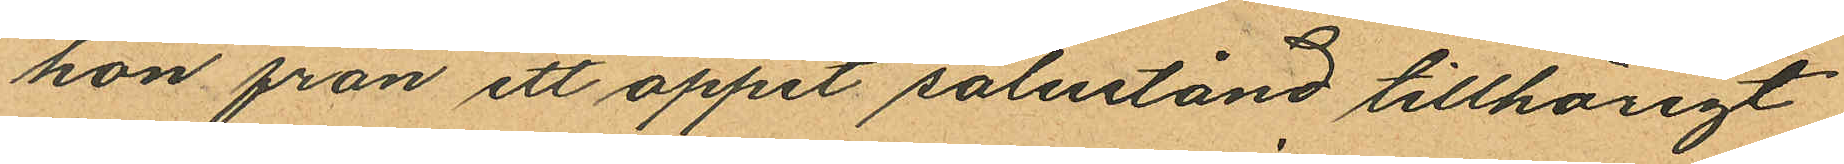hon från ett öppet salustånd tillhörigt
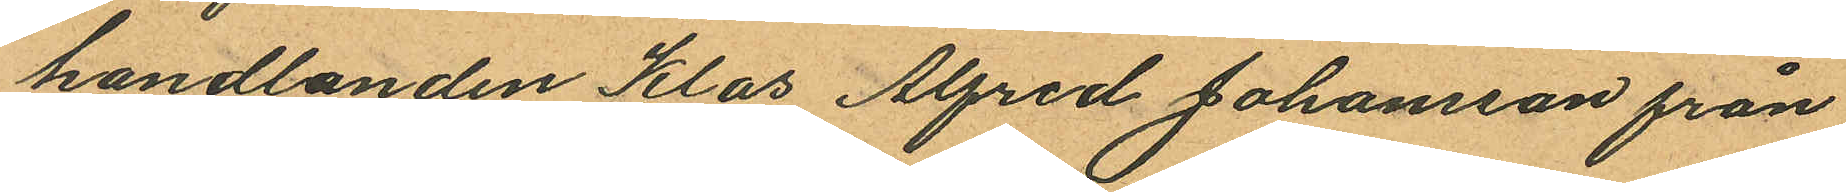handlanden Klas Alfred Johansson från
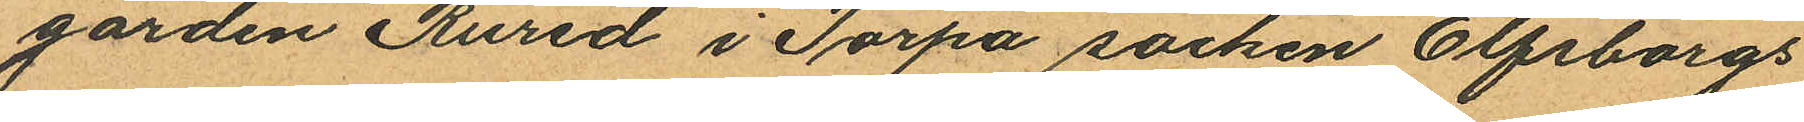gården Rured i Torpa socken Elfsborgs
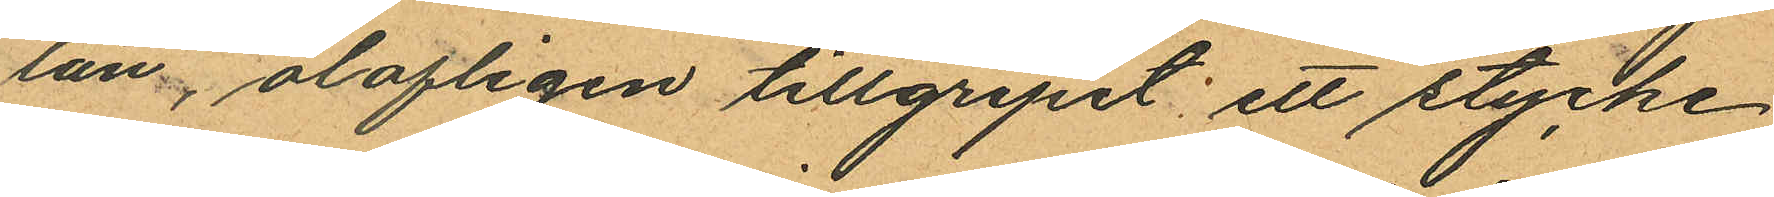län, olofligen tillgripit: ett stycke
